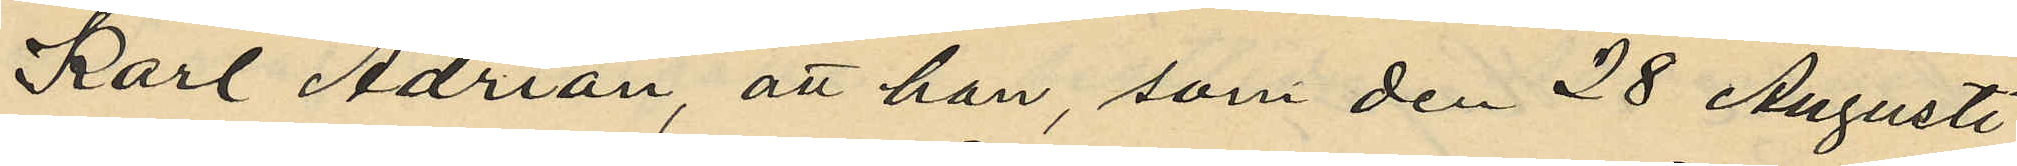Karl Adrian, att han som den 28 Augusti
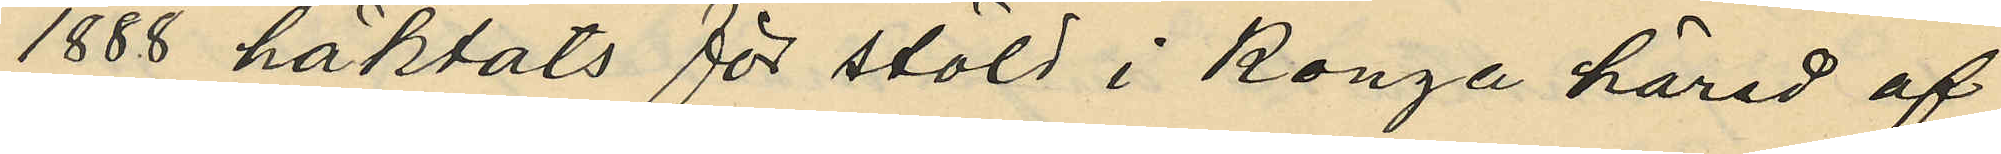1888 häktats för stöld i Konga härad af
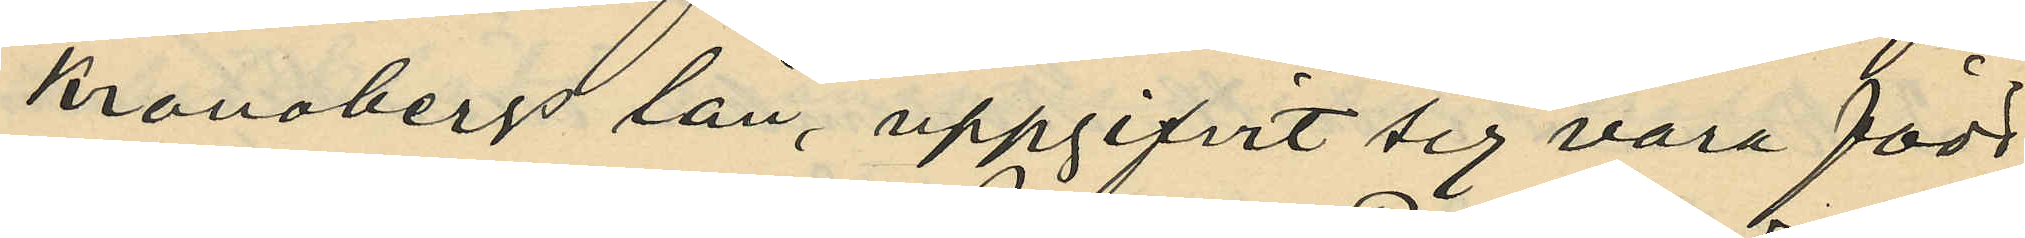Kronobergs län, uppgifvit sig vara född
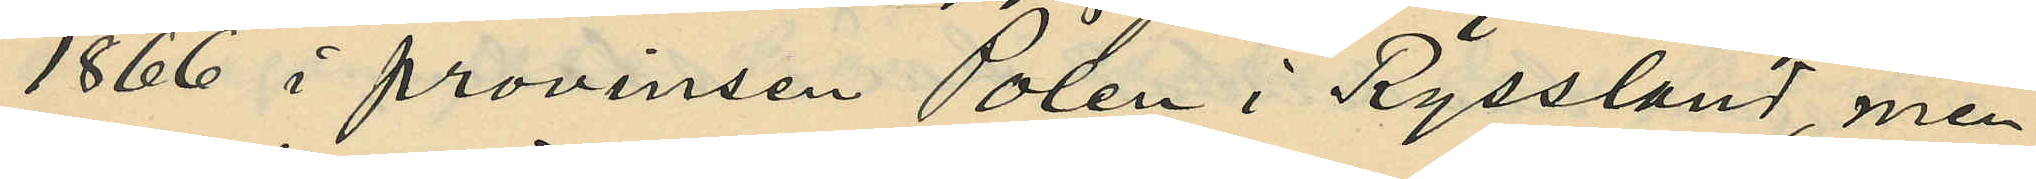1866 i provinsen Polen i Ryssland, men
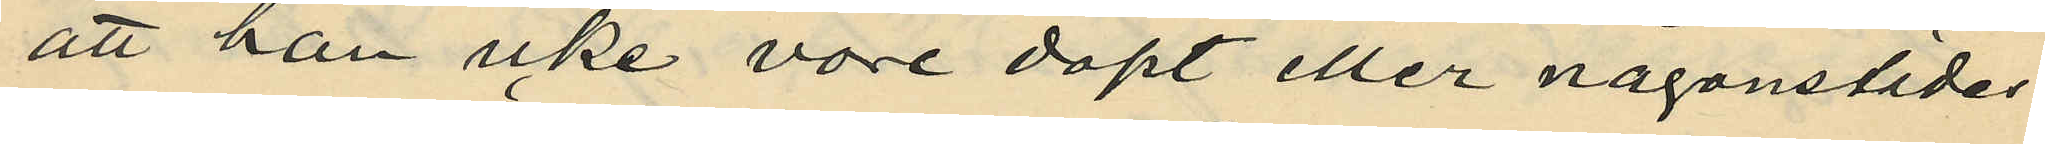att han icke vore döpt eller någonstädes
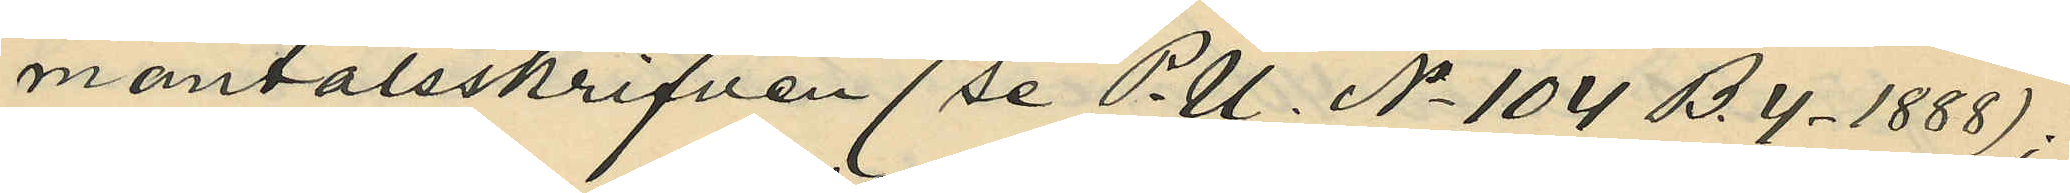mantalsskrifven (se P. U. No 104 B. 4. 1888);
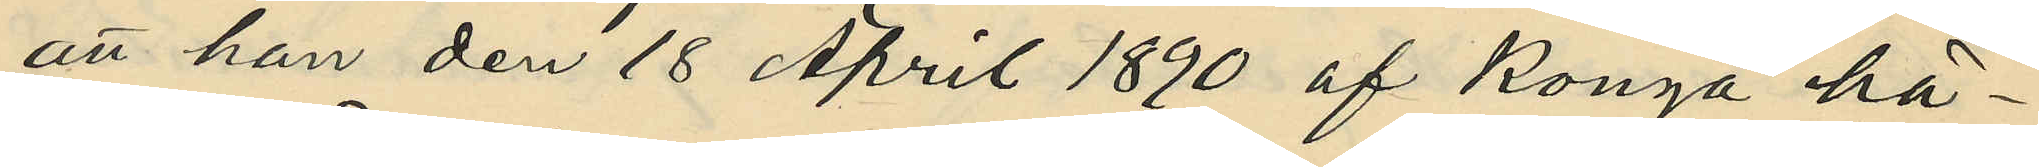att han den 18 April 1890 af Konga hä¬
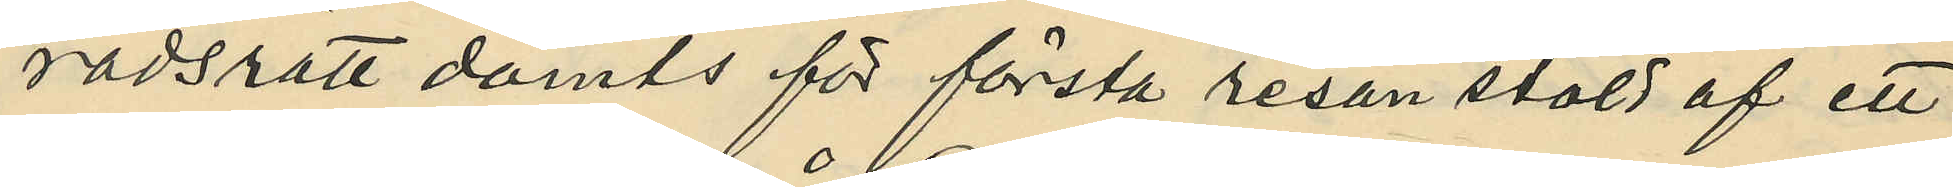radsrätt dömts för första resan stöld af ett
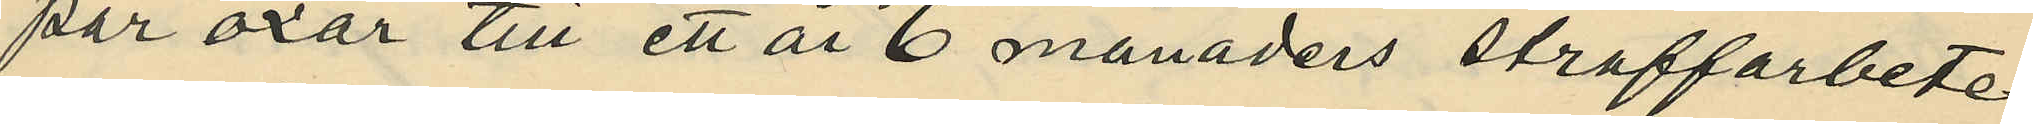par oxar till ett år 6 månaders straffarbete
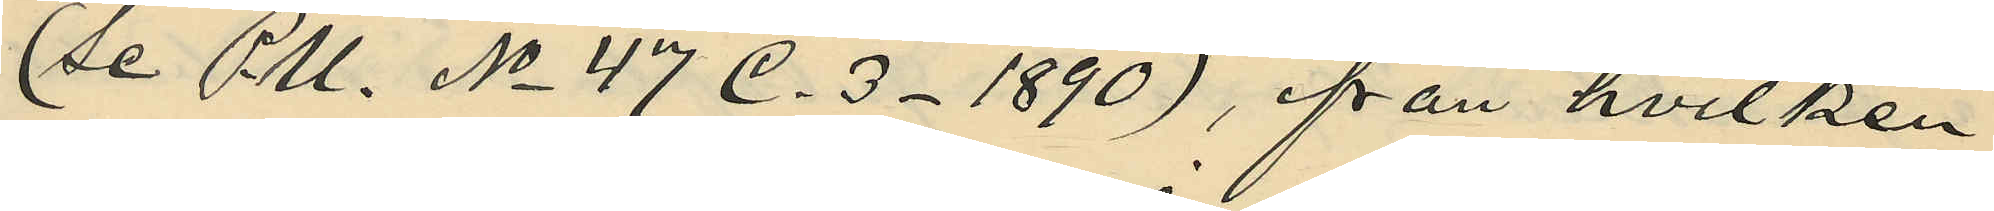(Se P. U. No 47 C.3. 1890), från hvilken
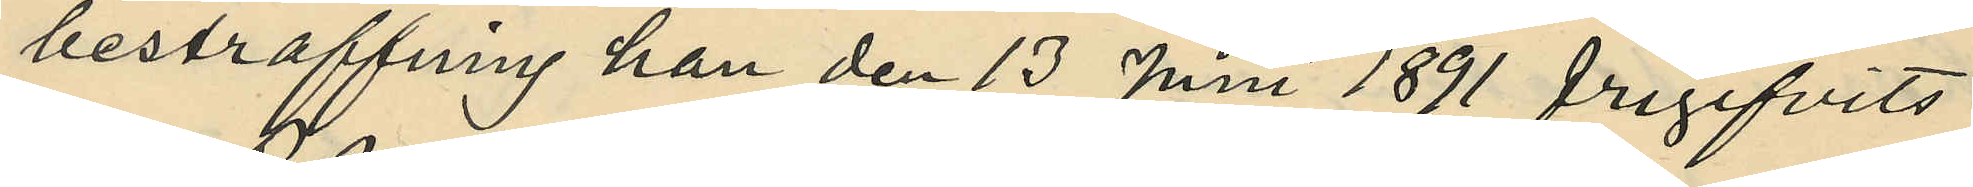bestraffning han den 13 Juni 1891 frigifvits
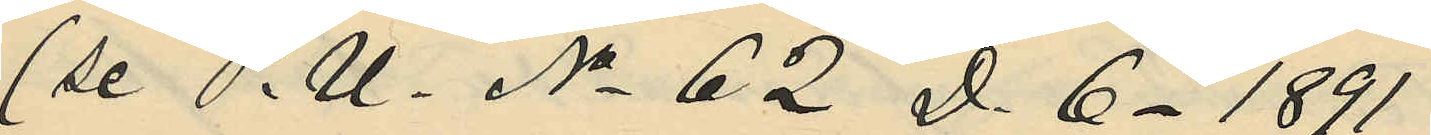(se P. U. No 62 D. 6. 1891);
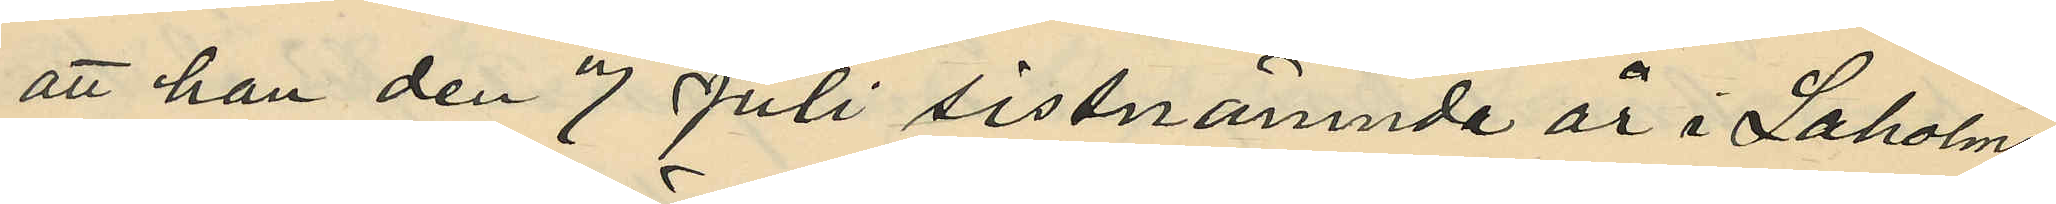att han den 7 Juli sistnämnde år i Laholms
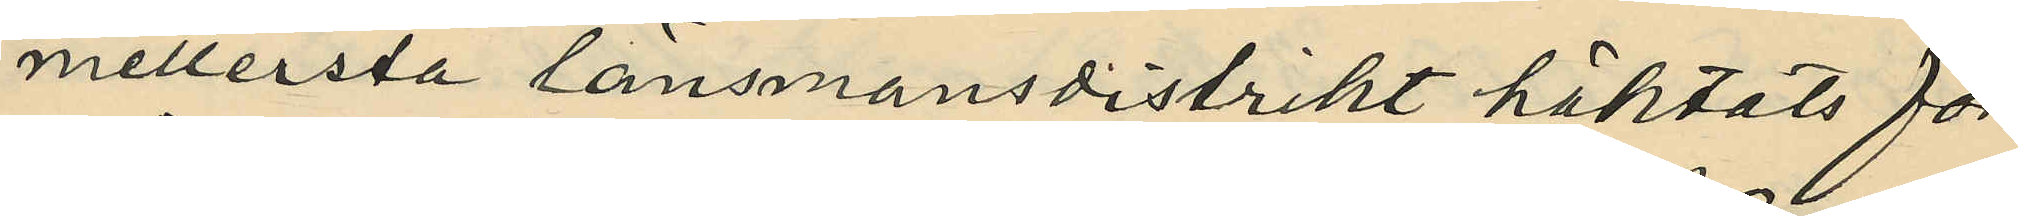mellersta länsmansdistrikt häktats för
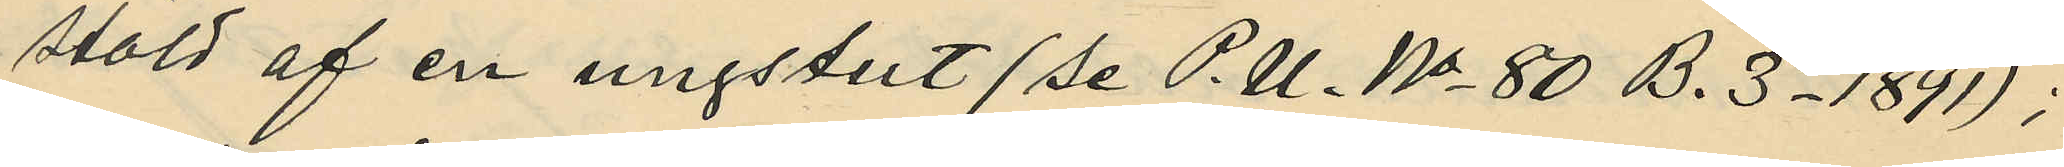stöld af en ungstut (se P. U. No 80 B. 3. 1891);
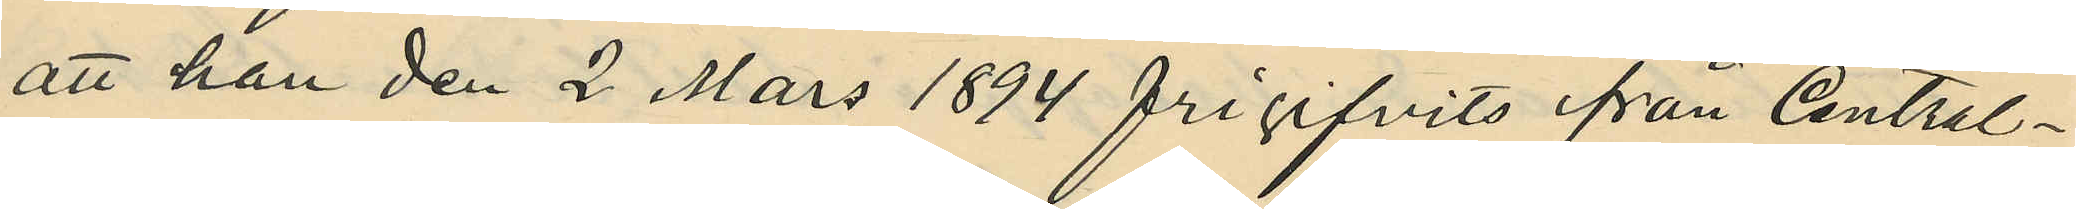att han den 2 Mars 1894 frigifvits från Central¬
